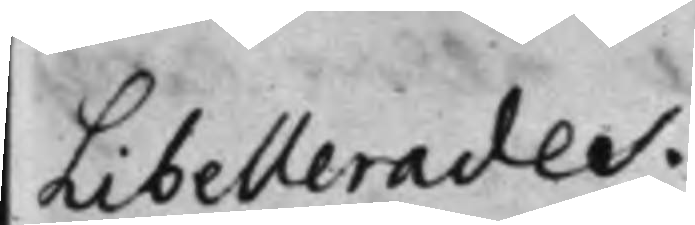Libellerades.
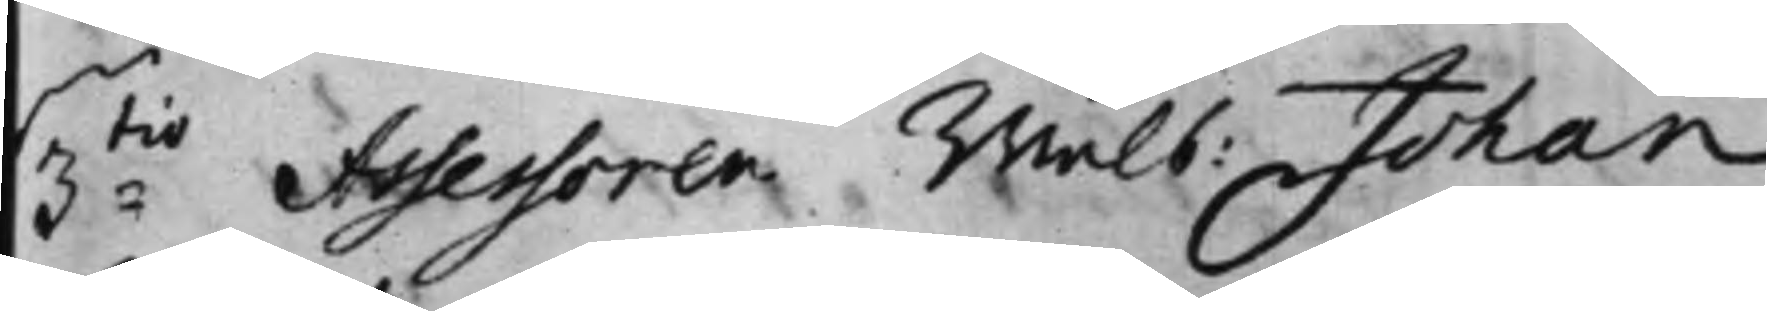3:tio Assessoren Wälb: Johan
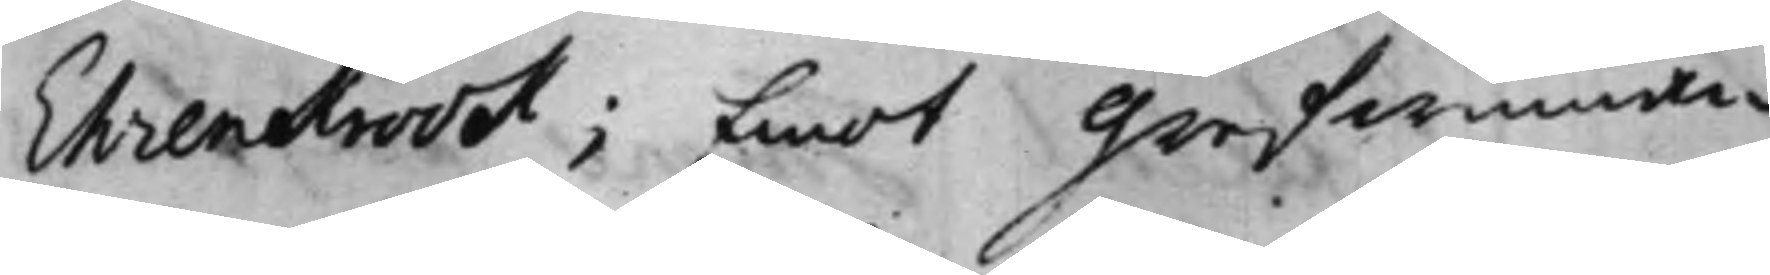Ehrenkrook; Emot Grefwinnan
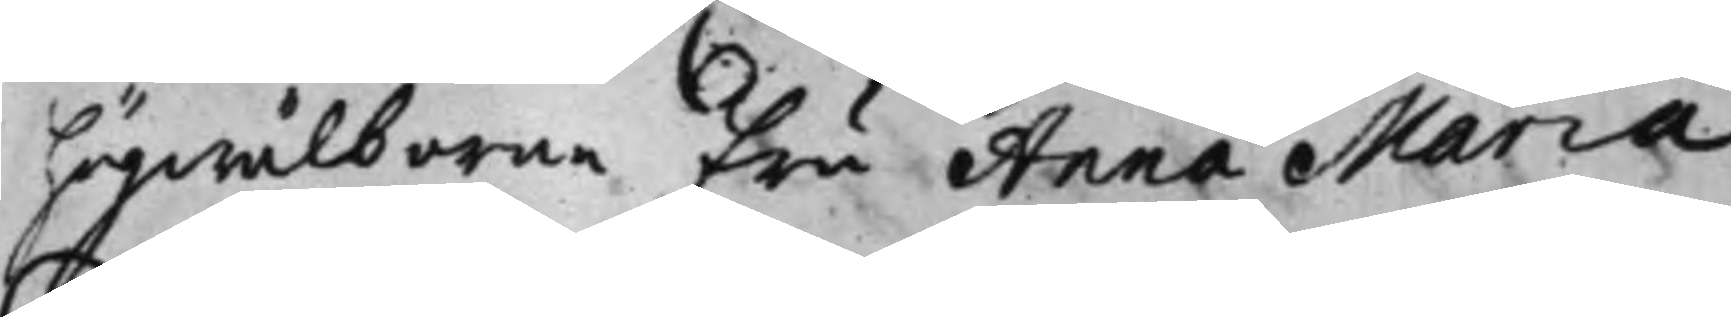högwälborna Fru Anna Maria
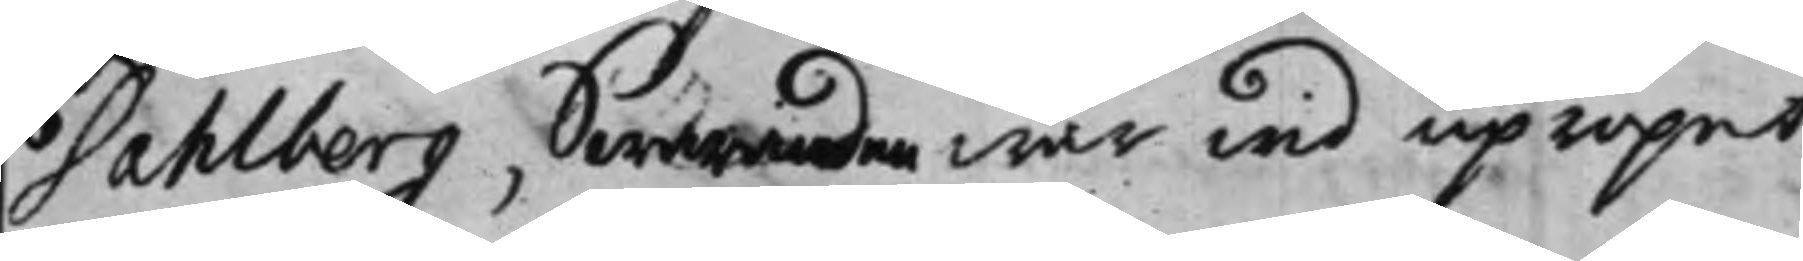Dahlberg, Swaranden war wid upropet
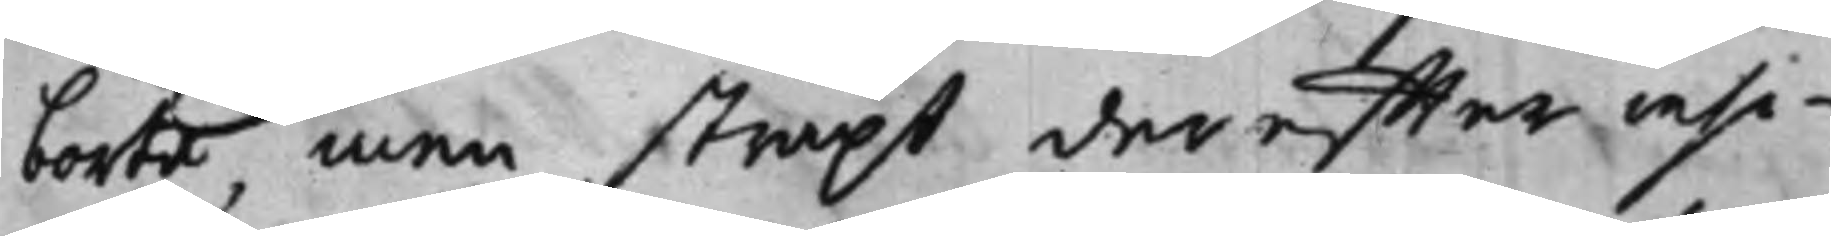borta, men straxt der effter insi¬
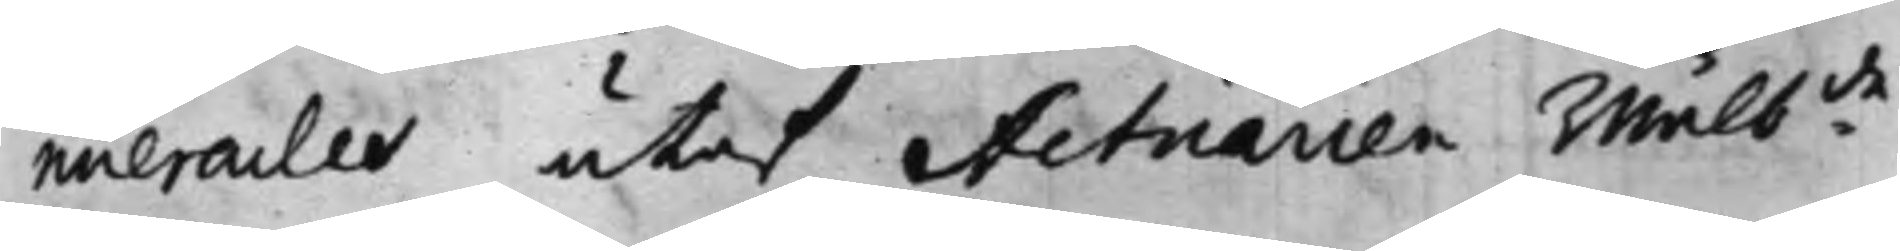nuerades utaf Actuarien Wälb:de
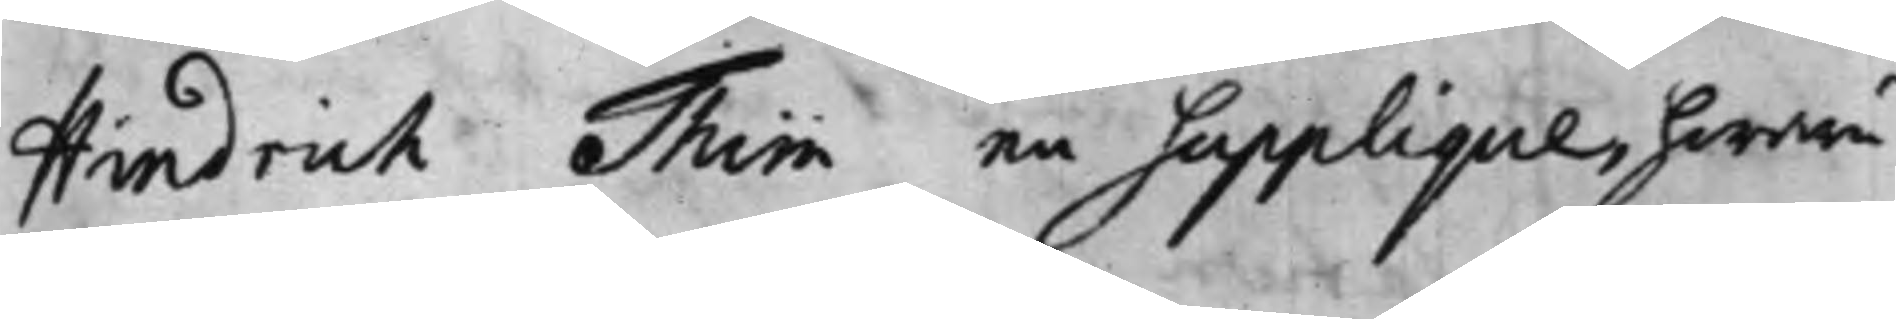Hindrich Thim en Supplique, hwaru¬
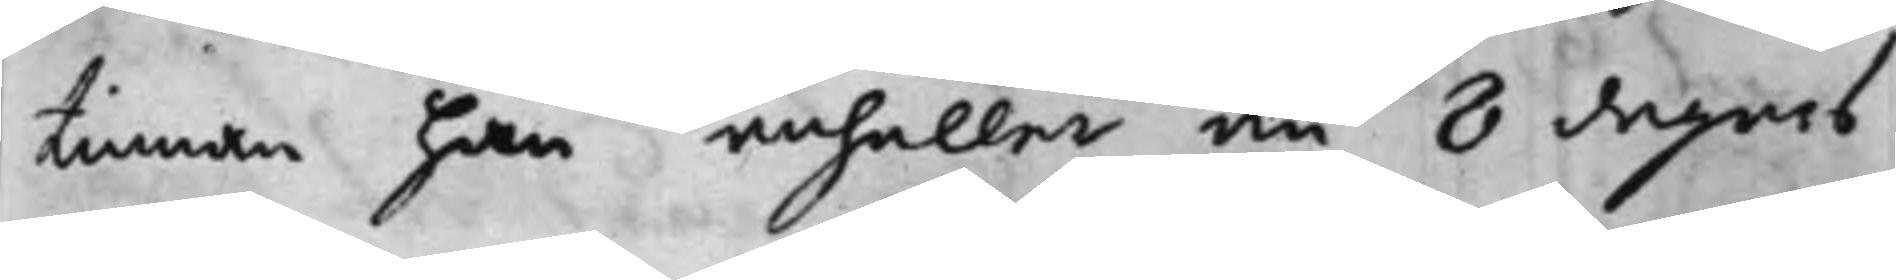tinnan han anhåller om 8 dagars
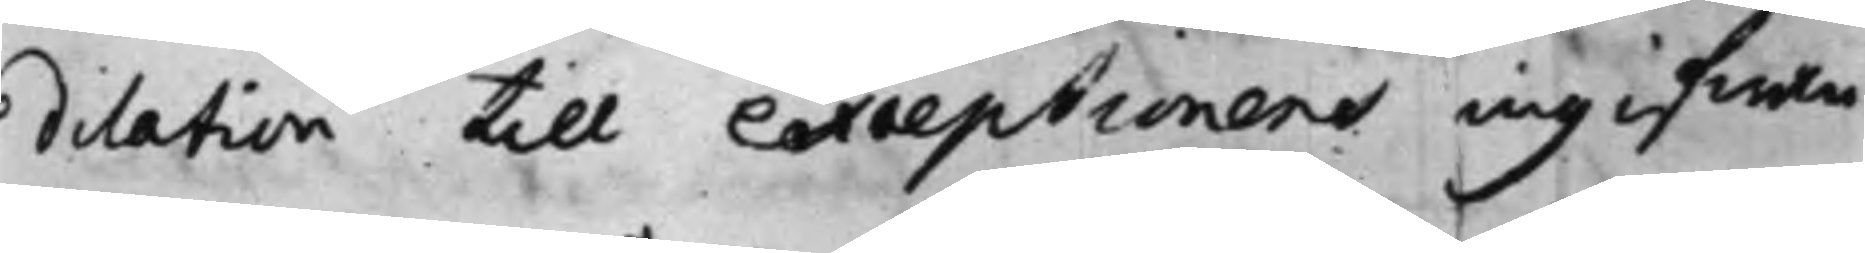dilation till exceptionens ingifwan¬
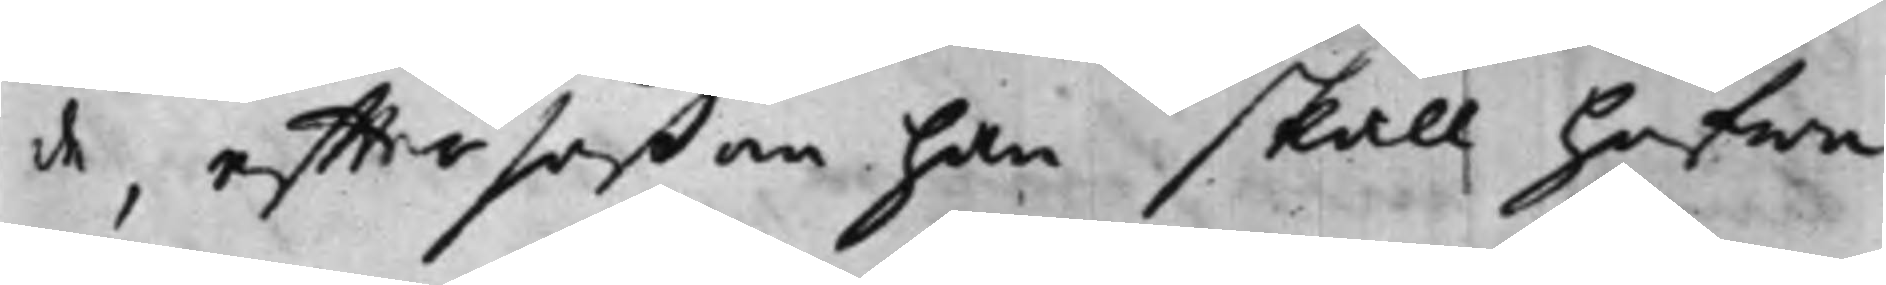de, effter såßom han skall hafwa
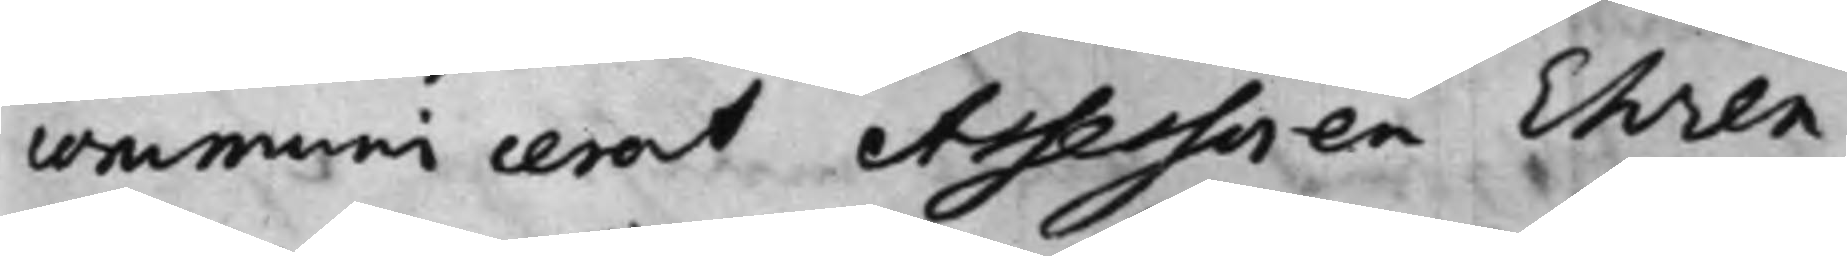communicerat Assessoren Ehren¬
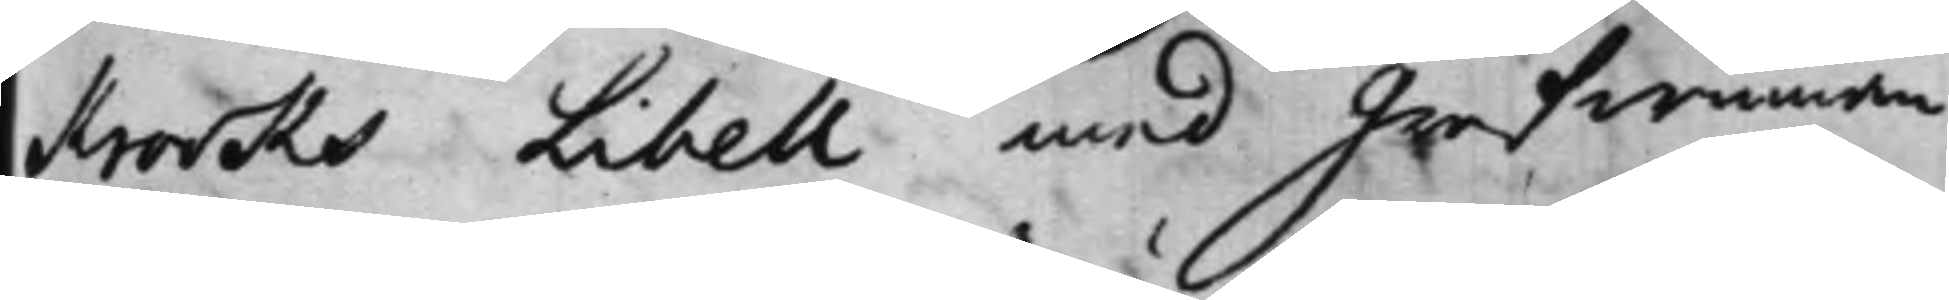Krooks Libell med Grefwinnan
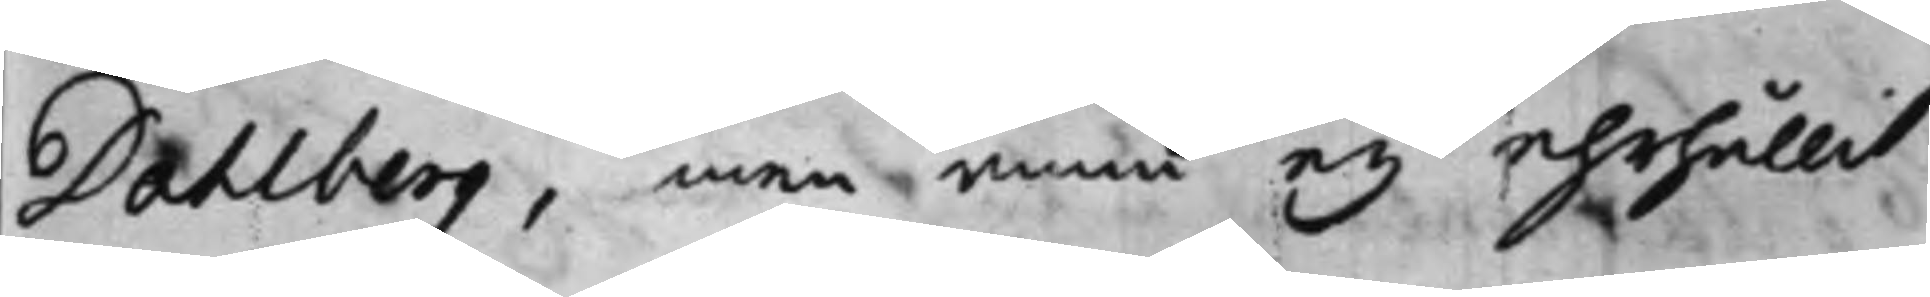Dahlberg, men ännu ey ehrhållit
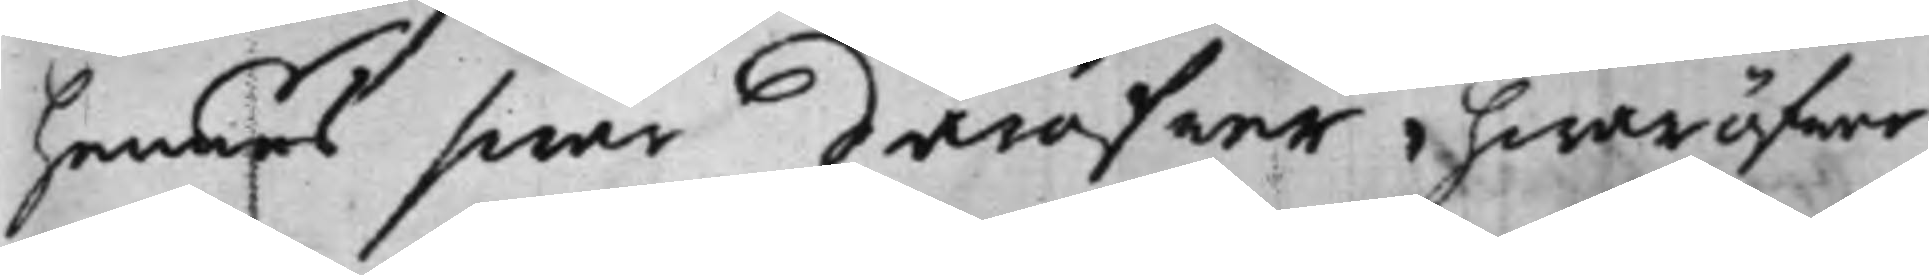hennes swar däröfwer hwaröfwer
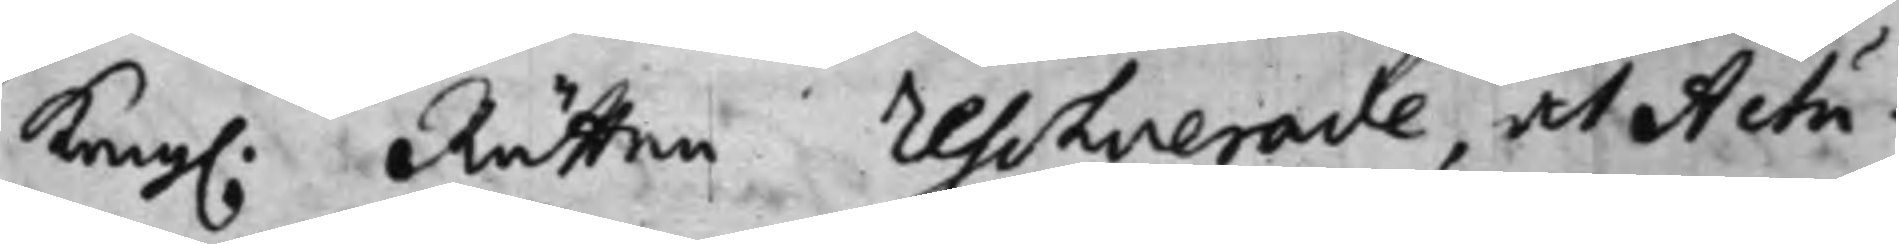Kong. Rätten Resolverade, at Actu¬
